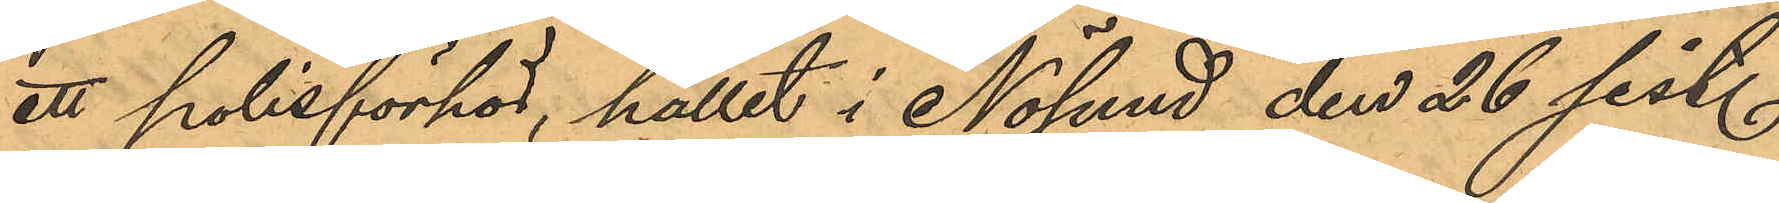ett polisförhör, hållet i Nösund den 26 sist.
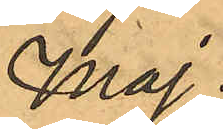maj.
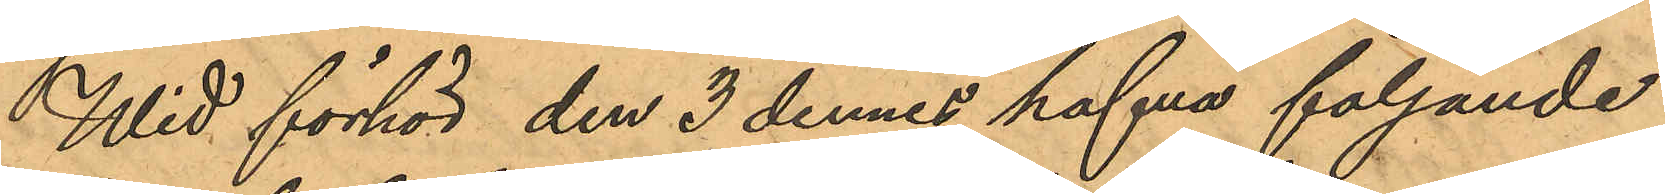Wid förhör den 3 dennes hafva följande
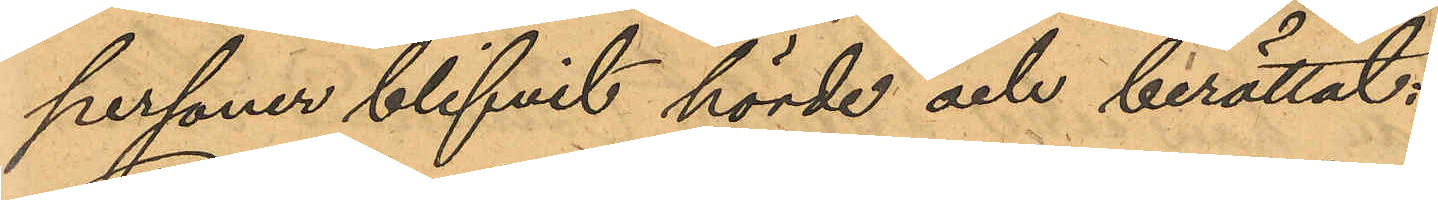personer blifvit hörde och berättat:
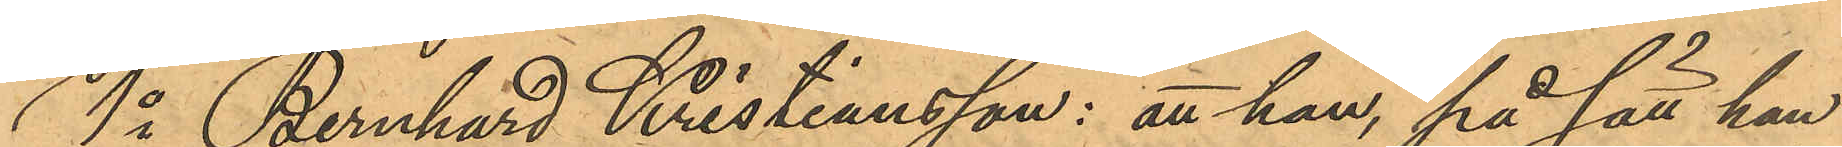1o Bernhard Kristiansson: att han, på sätt han
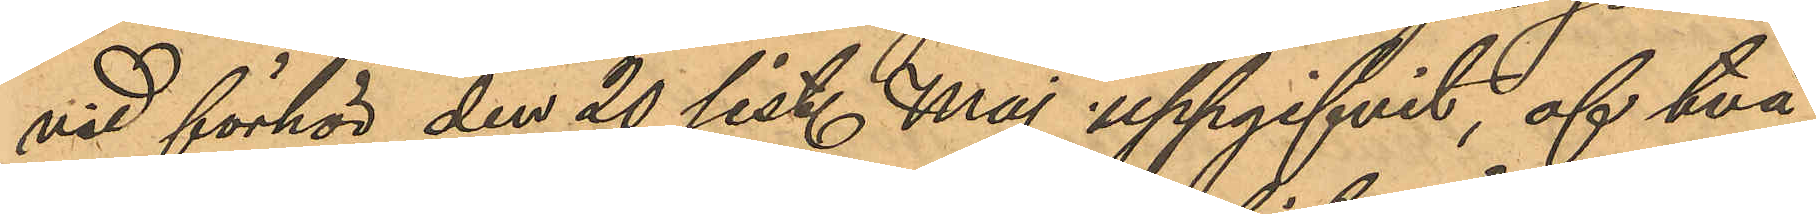vid förhör den 20 sist. Maj uppgifvit, af två
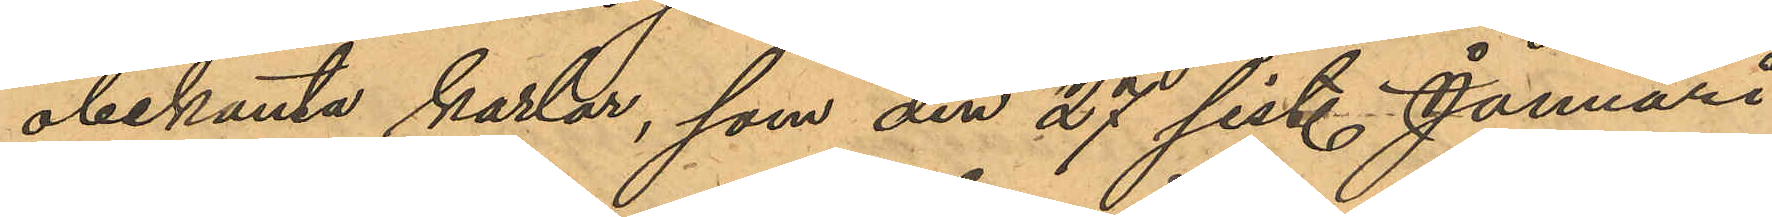obekanta karlar, som den 27 sist. Januari
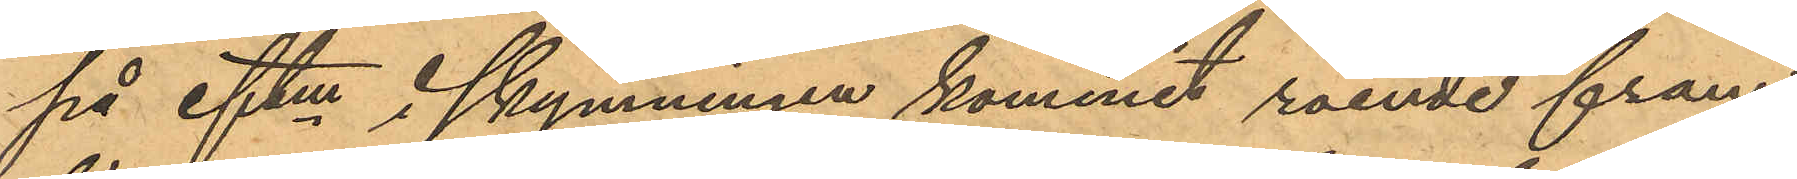på eftm i skymningen kommit roende fram
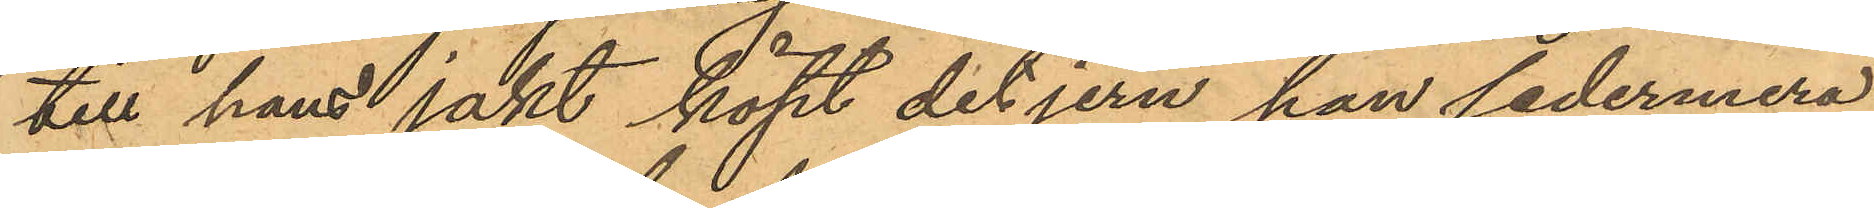till hans jakt köpt det jern han sedermera
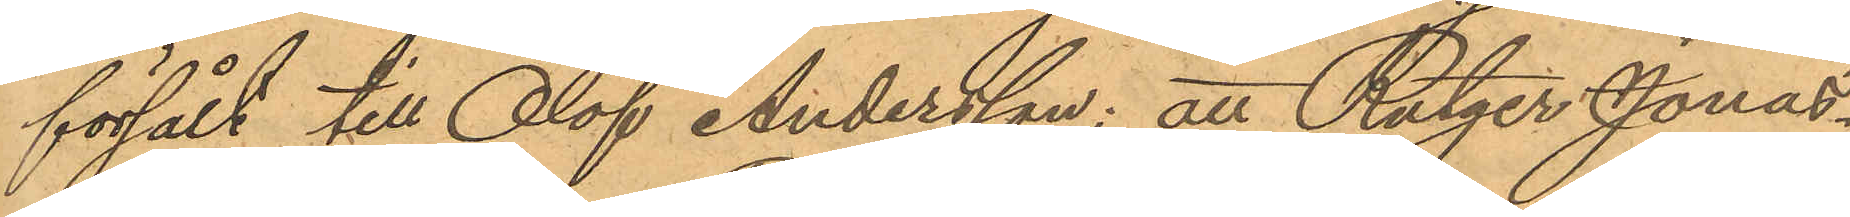försålt till Olof Andersson; att Rutger Jonas¬
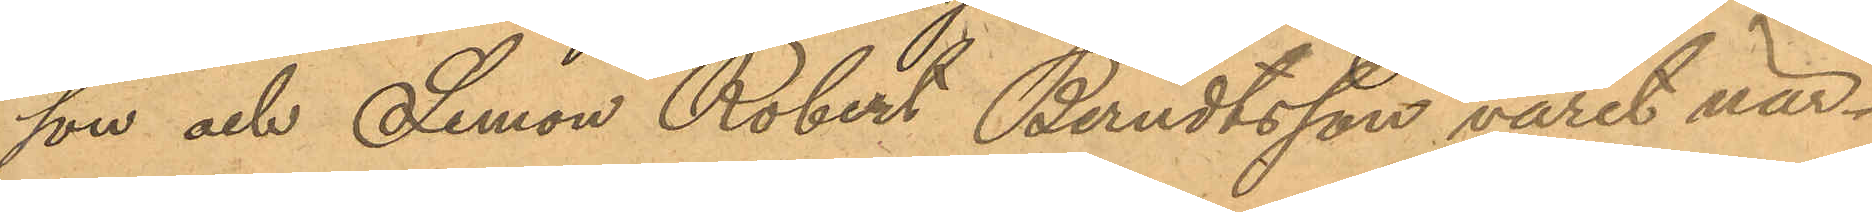son och Semon Robert Berndtsson varit när¬
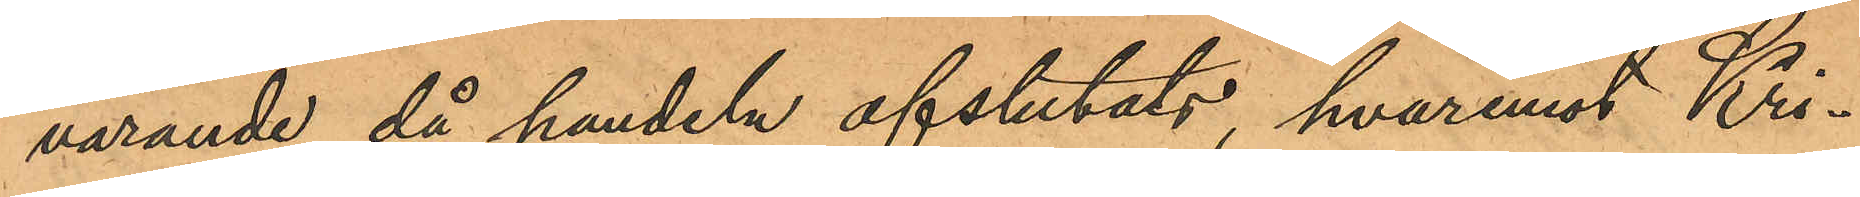varande då handeln afslutats, hvaremot Kri¬
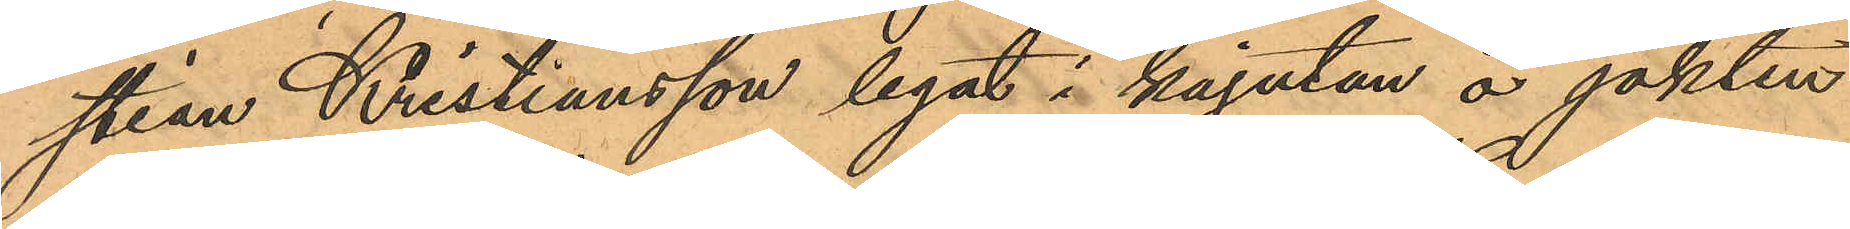stian Kristiansson legat i kajutan å jakten
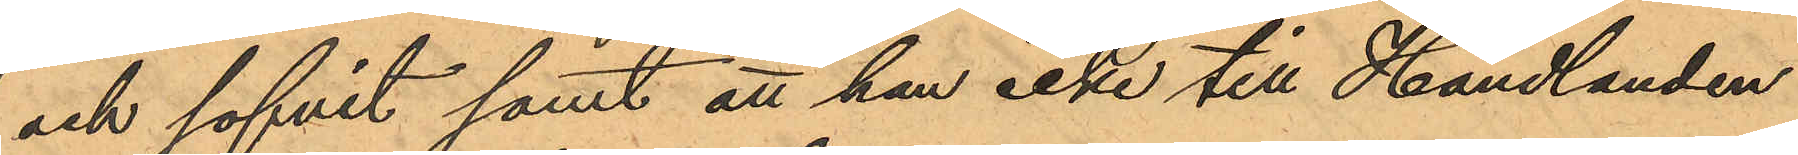och sofvit samt att han icke till Handlanden
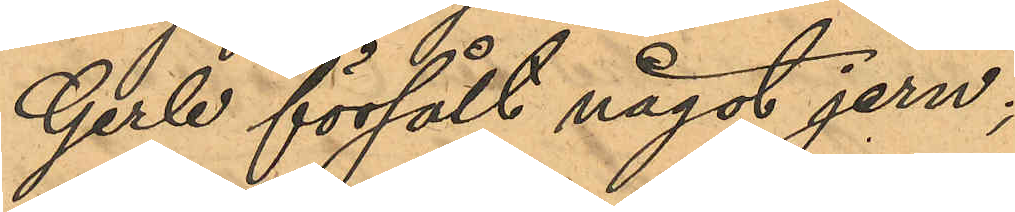Gerle försålt något jern;
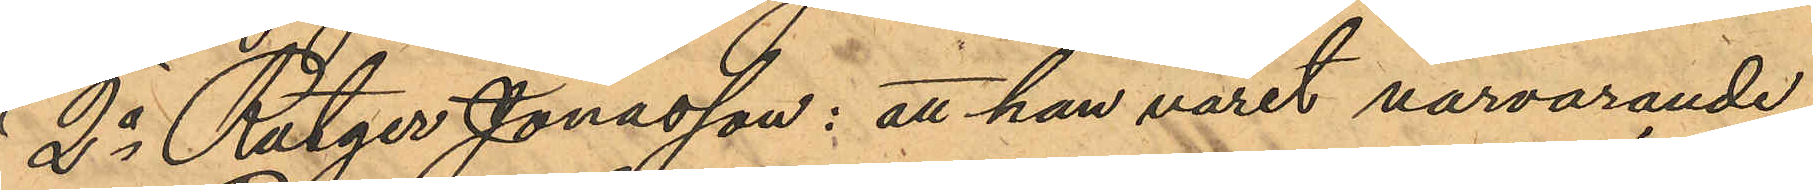2o Rutger Jonasson: att han varit närvarande,
